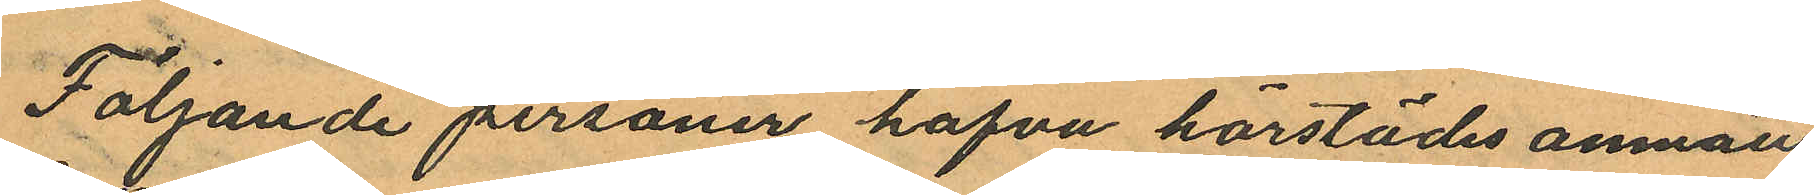Följande personer hafva härstädes anmält
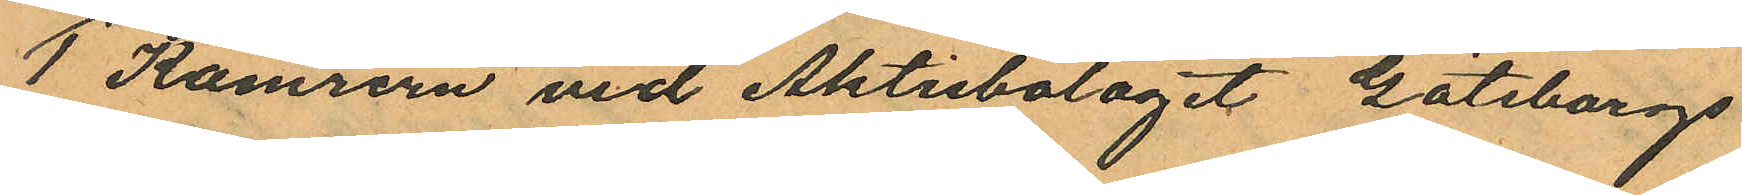1 Kamrern vid Aktiebolaget Göteborgs
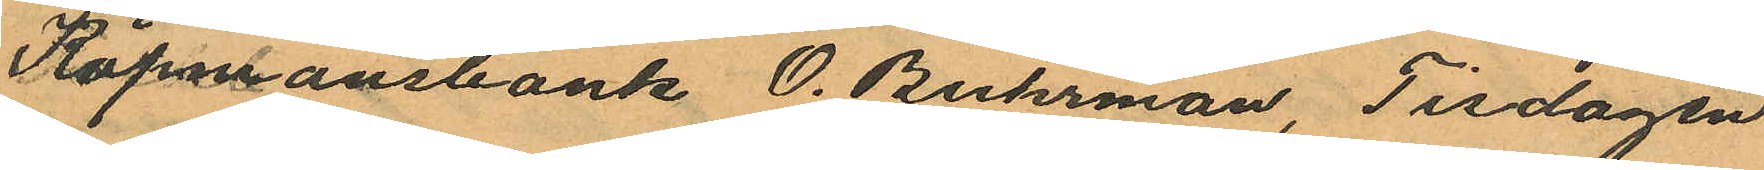Köpmansbank O. Buhrman, Tisdagen
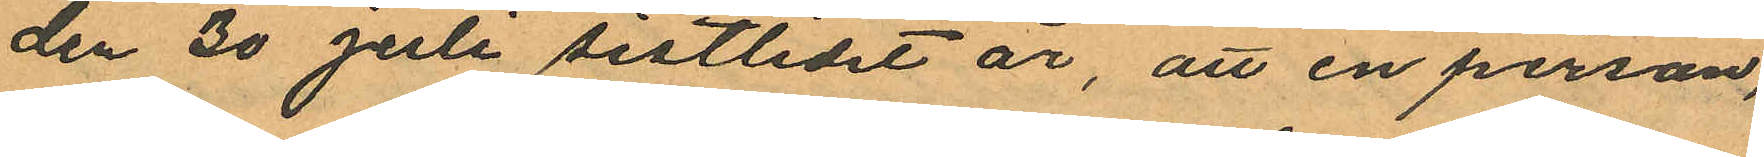den 30 Juli sistlidet år, att en person,
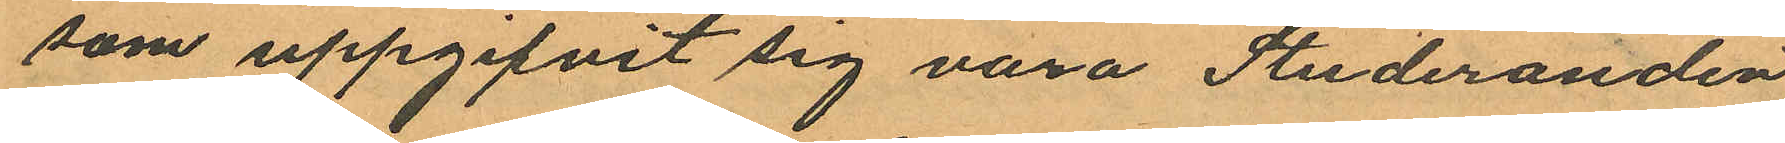som uppgifvit sig vara Studeranden
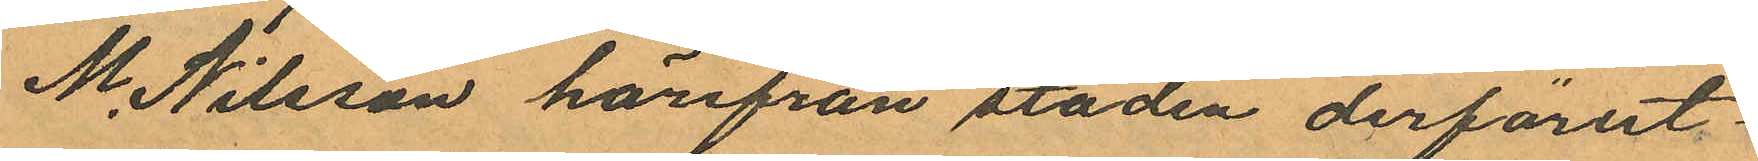M. Nilsson härifrån staden derförut¬
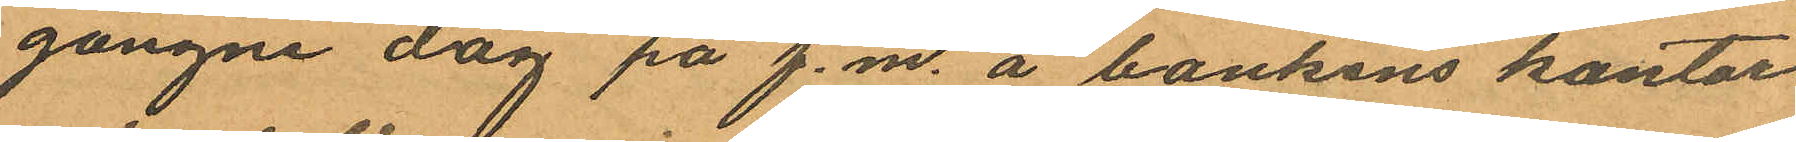gångne dag på f.m. å bankens kontor
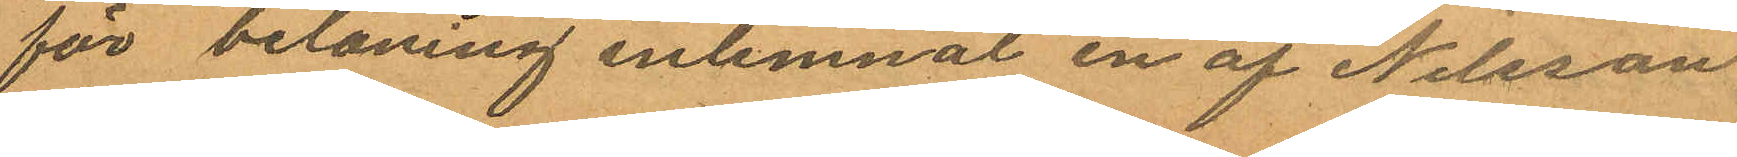för belåning inlemnat en af Nilsson
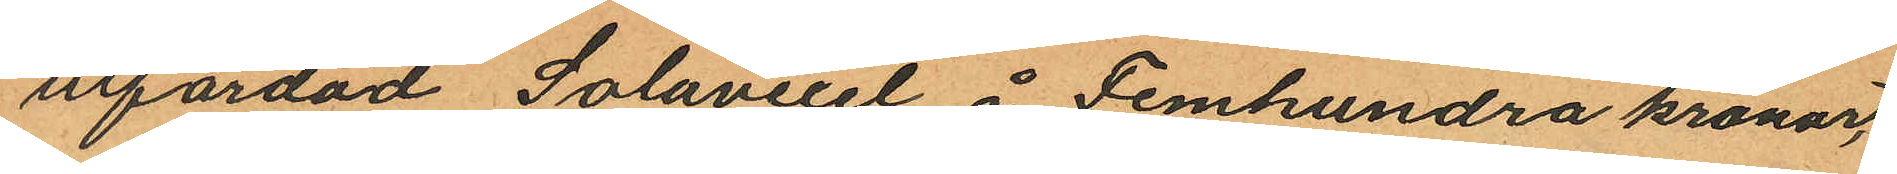utfärdad Solavexel å Femhundra kronor,
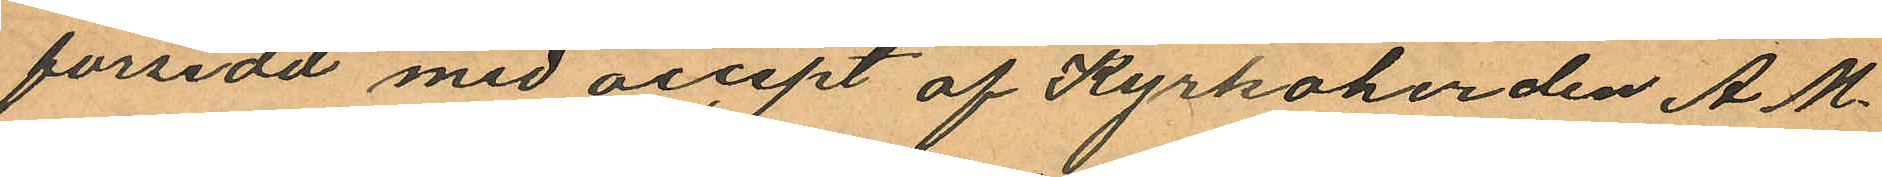försedd med accept af Kyrkoherden A. M.
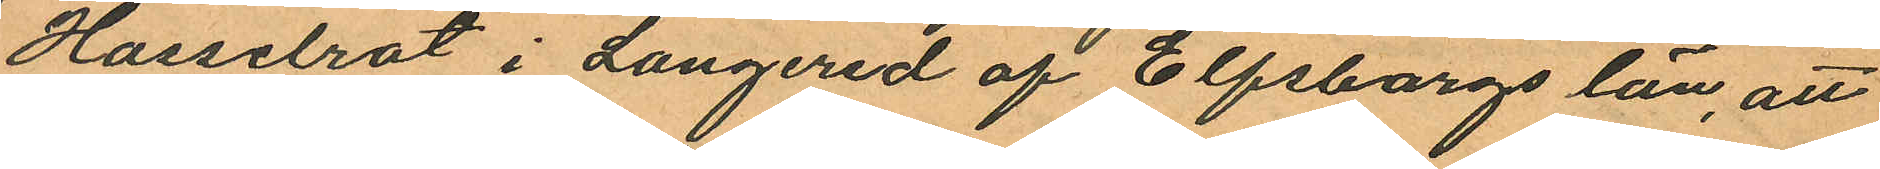Hasselrot i Langered af Elfsborgs län, att
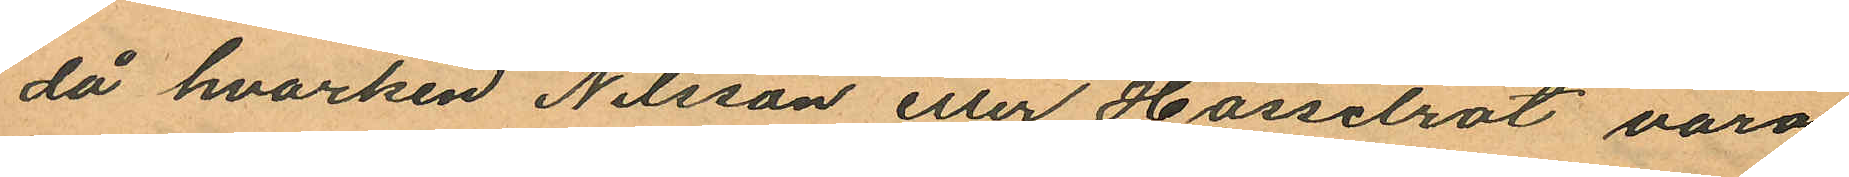då hvarken Nilsson eller Hasselrot voro
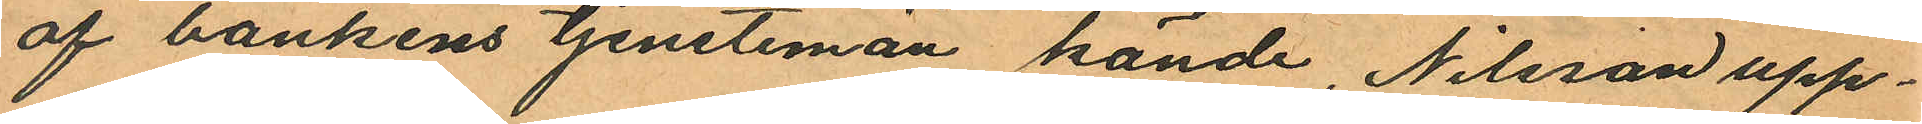af bankens tjenstiman kände, Nilsson upp¬
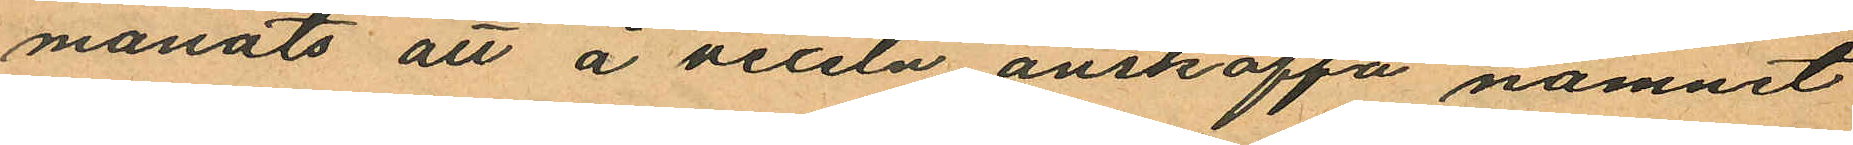manats att å vexeln anskaffa namnet
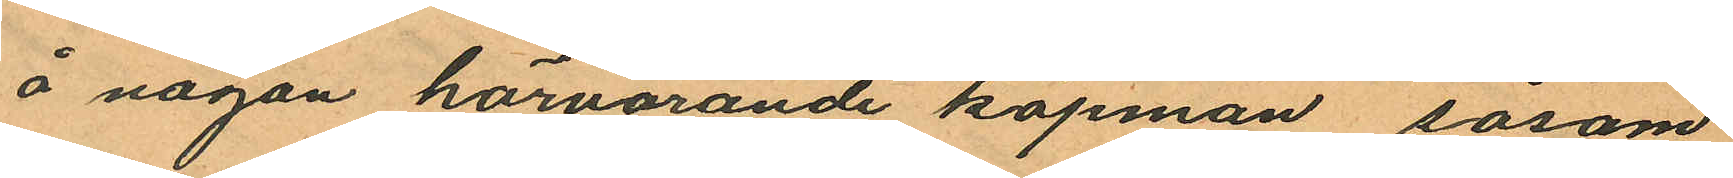å någon härvarande köpman såsom
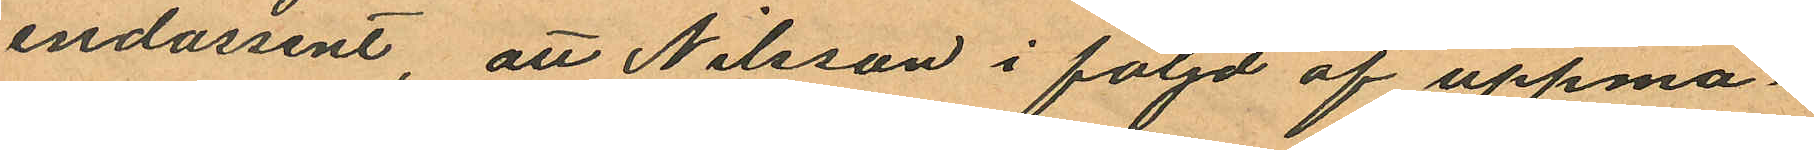endossent, att Nilsson i följd af uppma¬
